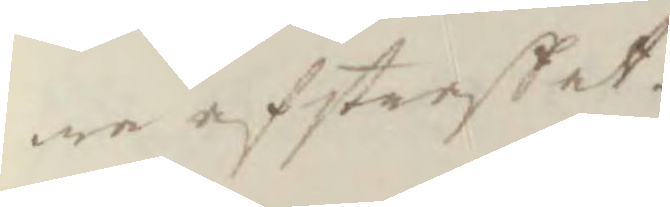we afstraffat.
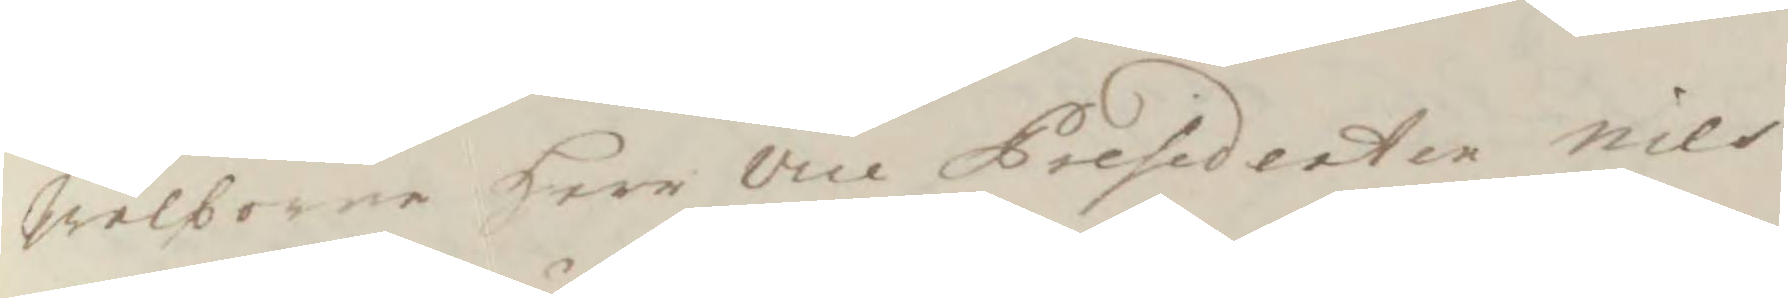Wälborne Herr vice Presidenten nils
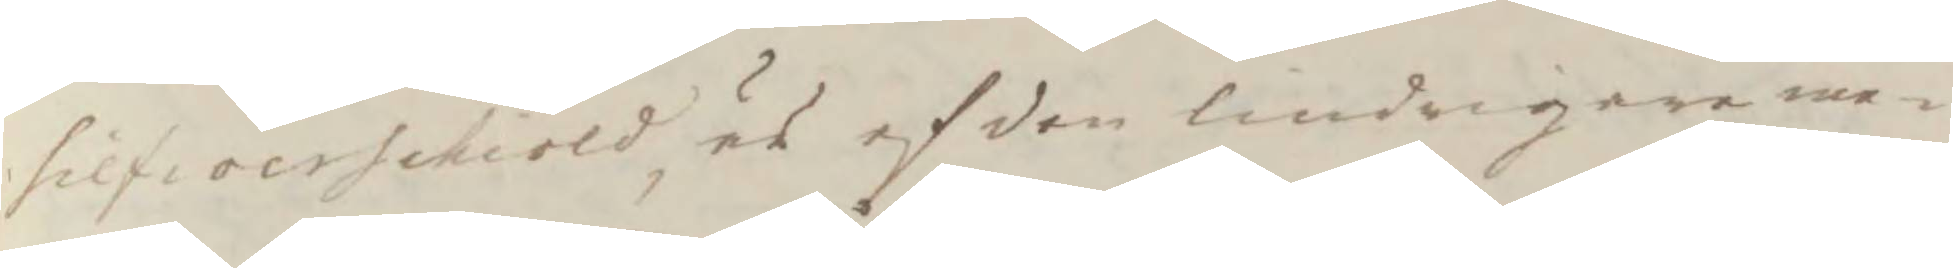silfwerschiöld är af den lindrigere me¬
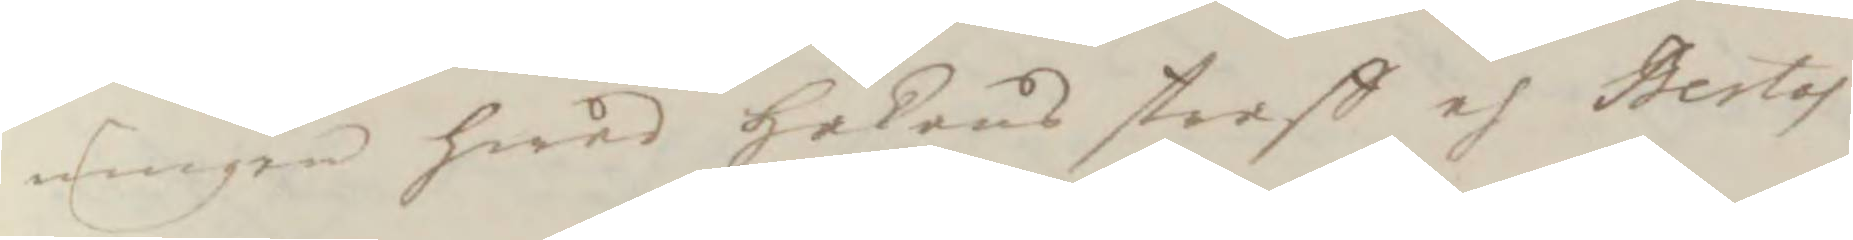ningen hwad Håkans straff oh Bertas
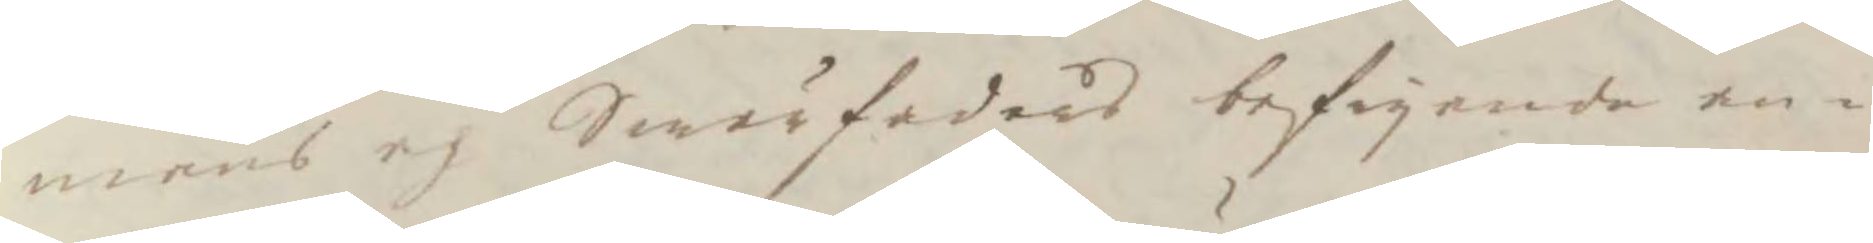mans ej Swärfaders befryande an¬
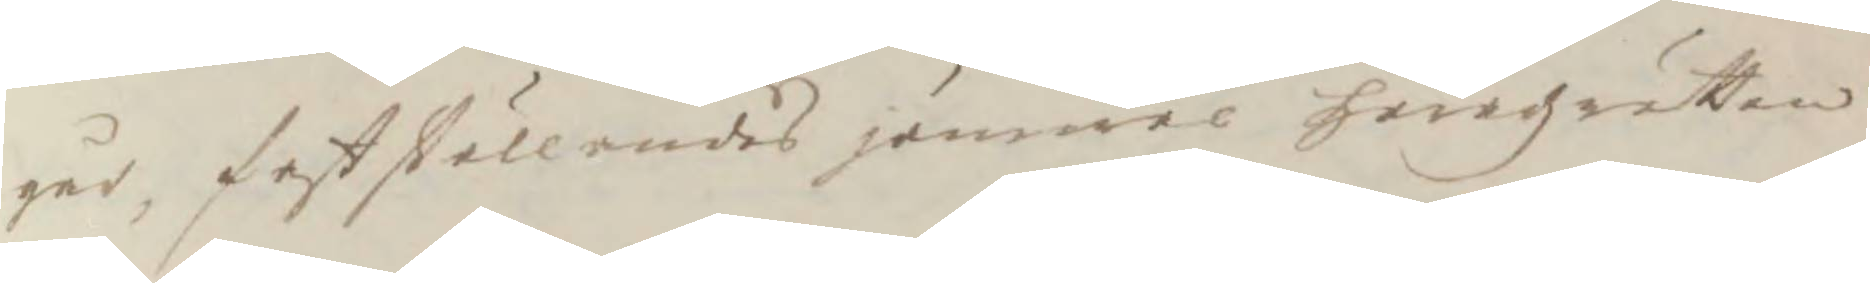går, fastställandes jämwäl häradzrätten
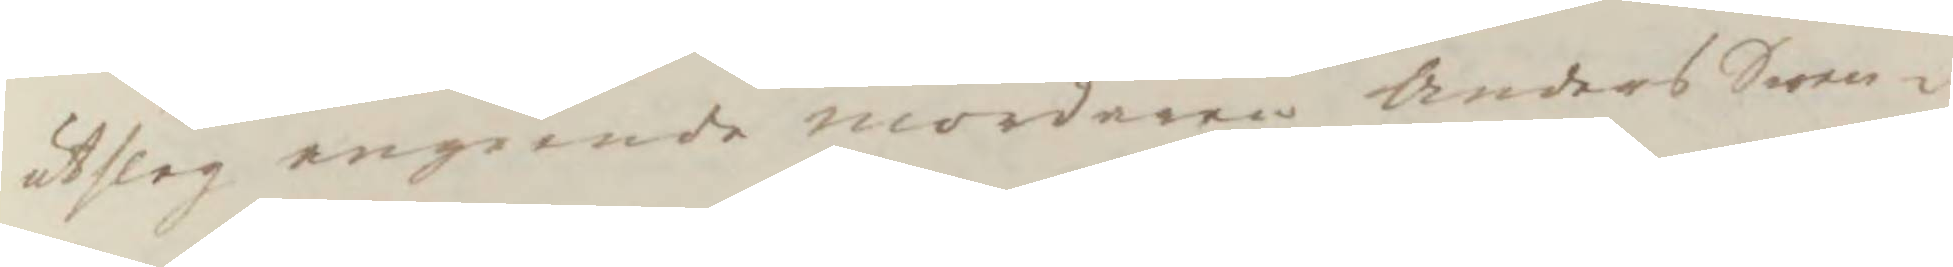utslag angående mordaren Anders Swen¬
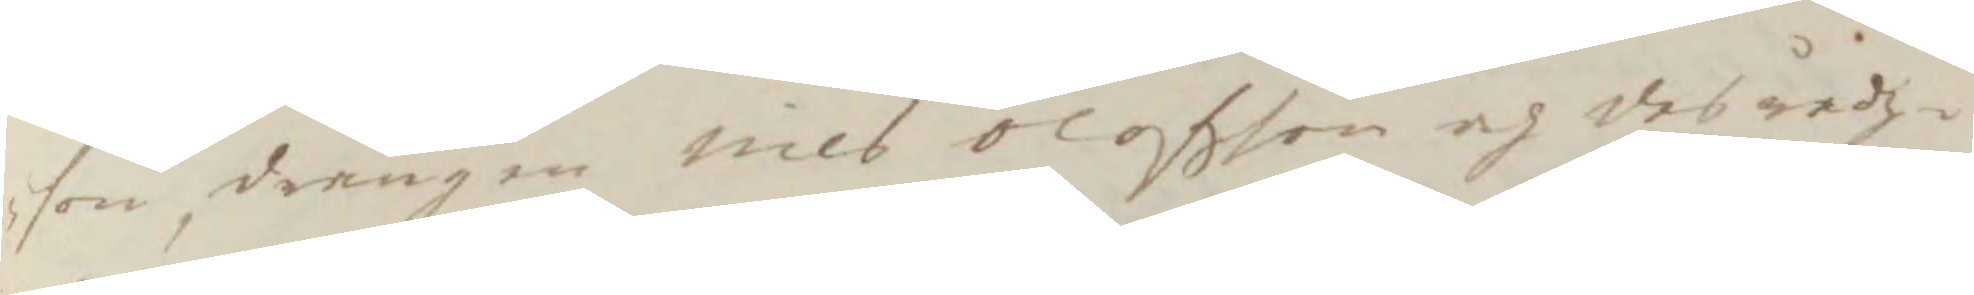son, drängen Nils olofson och des rådz¬
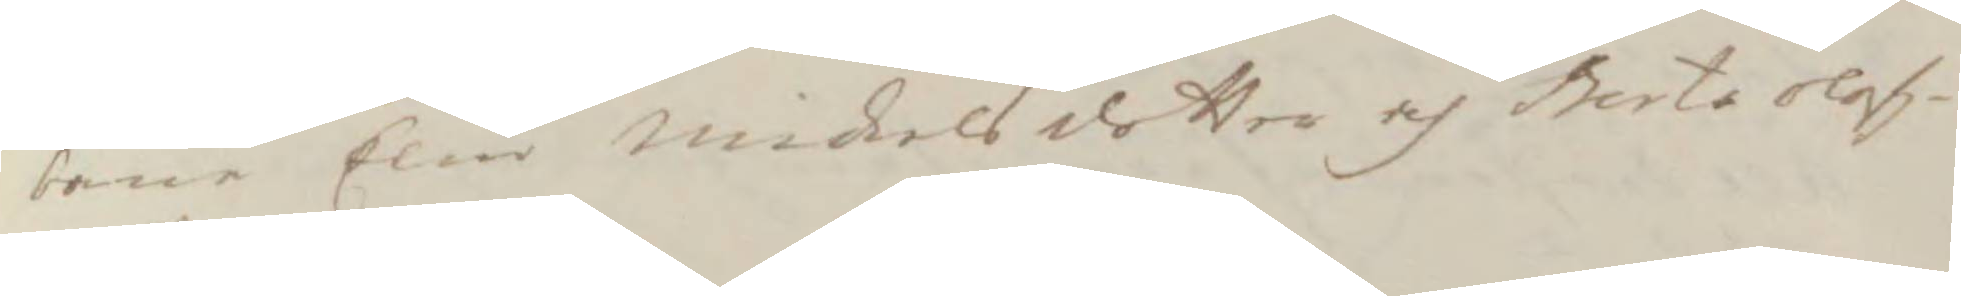bane Elin Mickelsdotter och Berta Olof¬
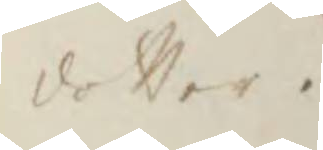dotter.
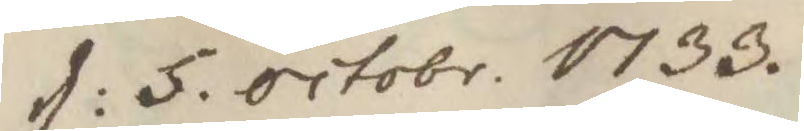d: 5. octobr. 1733. 
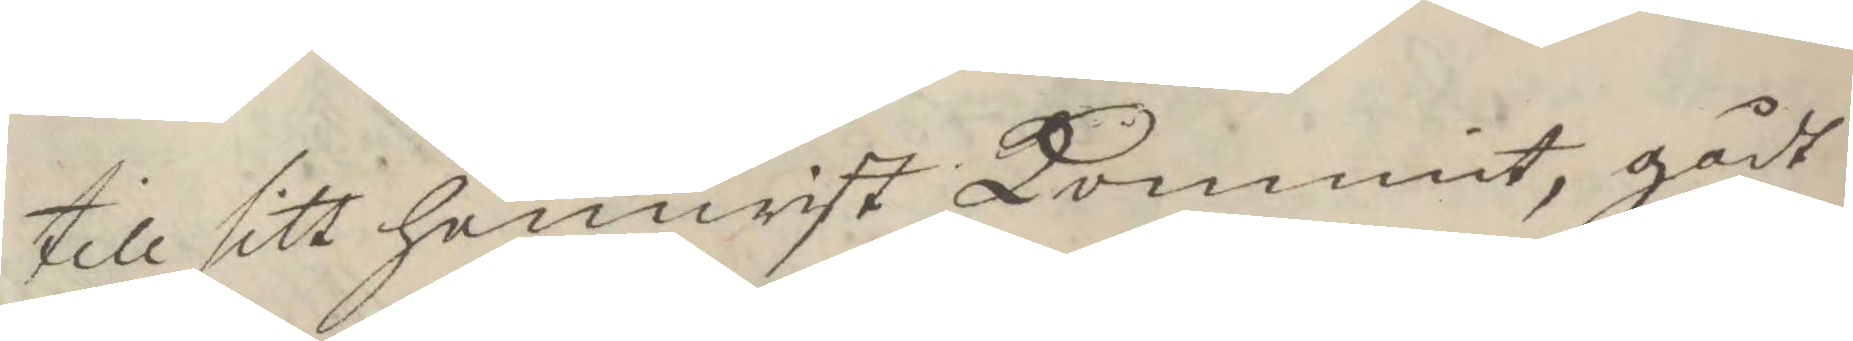till sitt hemwist kommit, gådt
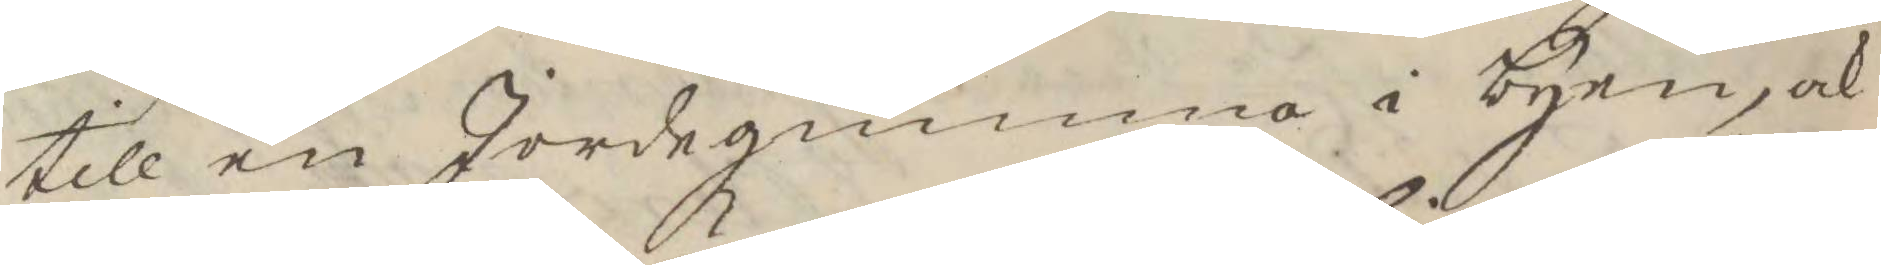till en Jordegumma i byen, och
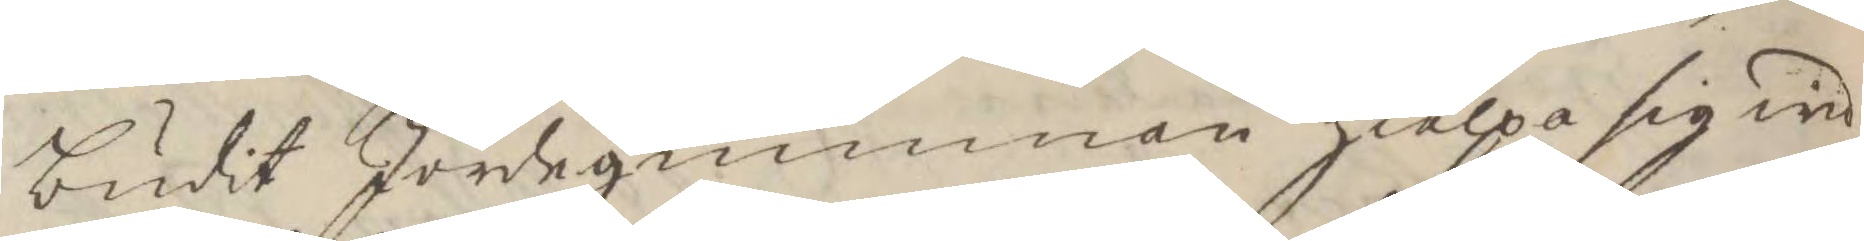budit Jordegumman hielpa sig wid
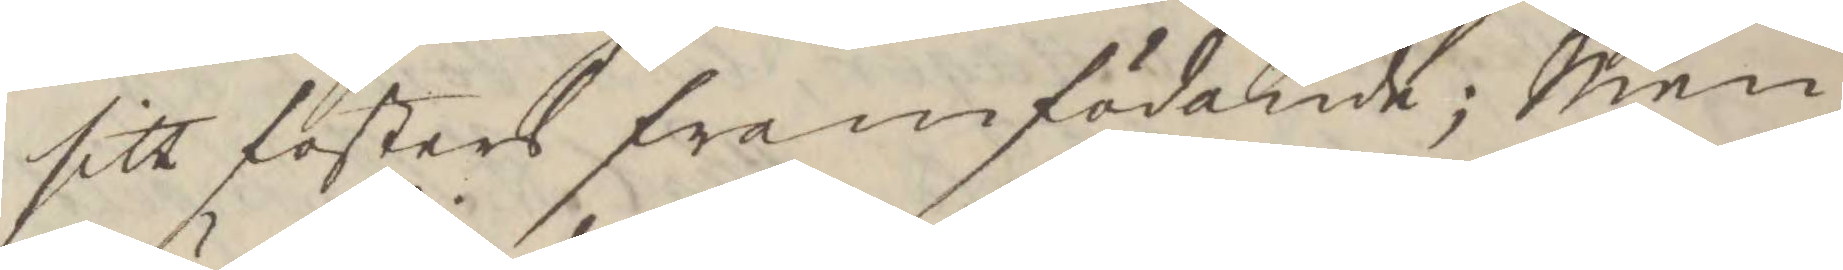sitt fosters framfödande; Men
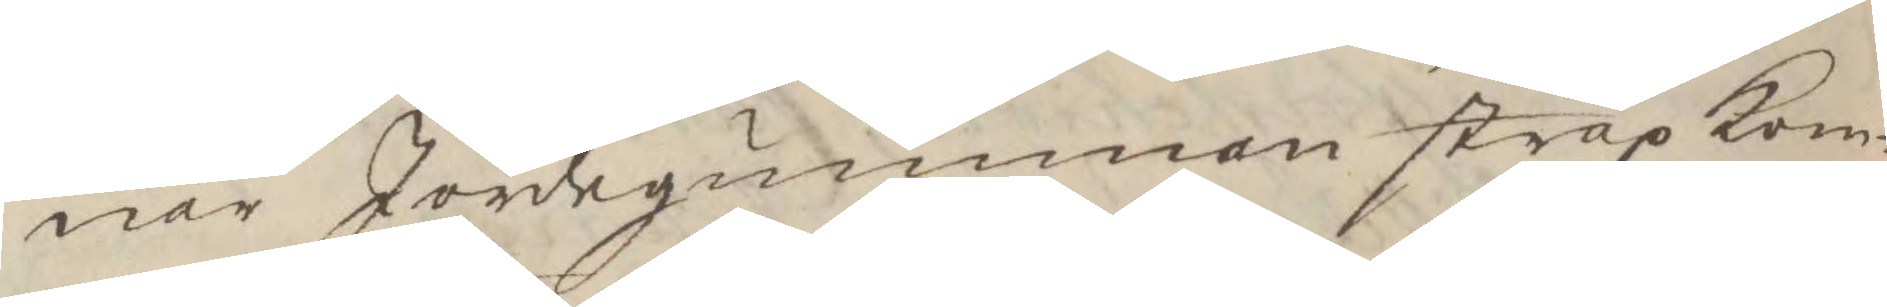när Jordeguinman strax kom¬
